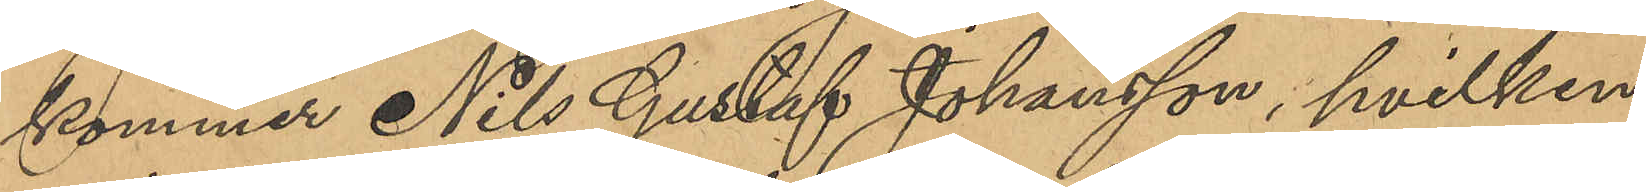kommer Nils Gustaf Johansson, hvilken
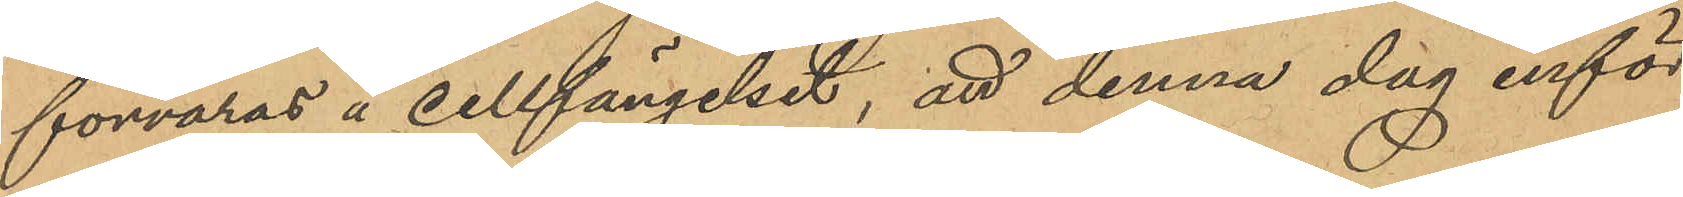förvaras å cellfängelset, att denna dag inför
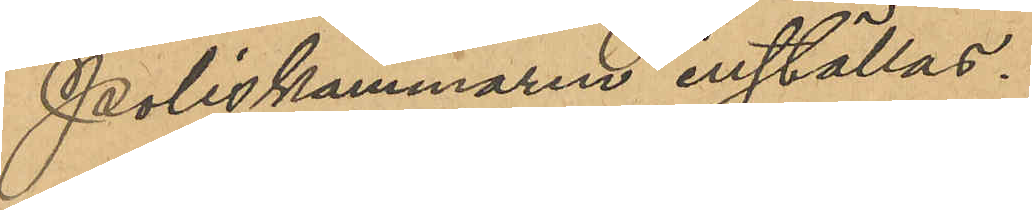Poliskammaren inställas.
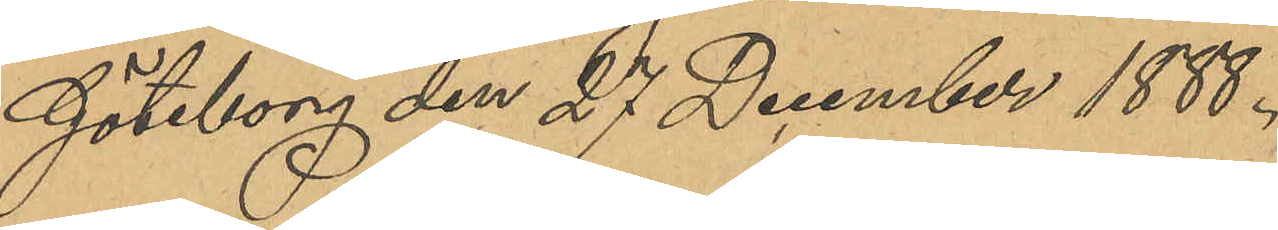Göteborg den 27 December 1888.
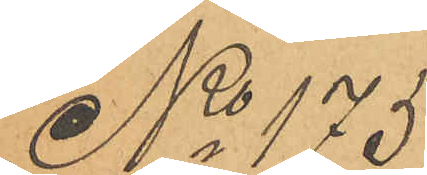No 175
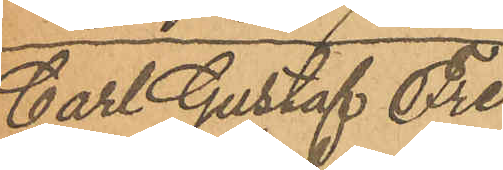Carl Gustaf Fre¬
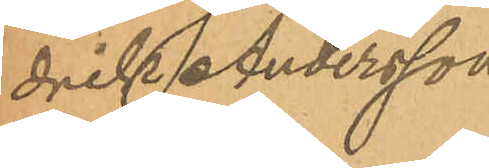drik Andersson
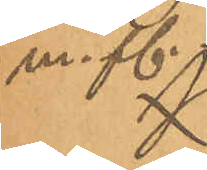m. fl.
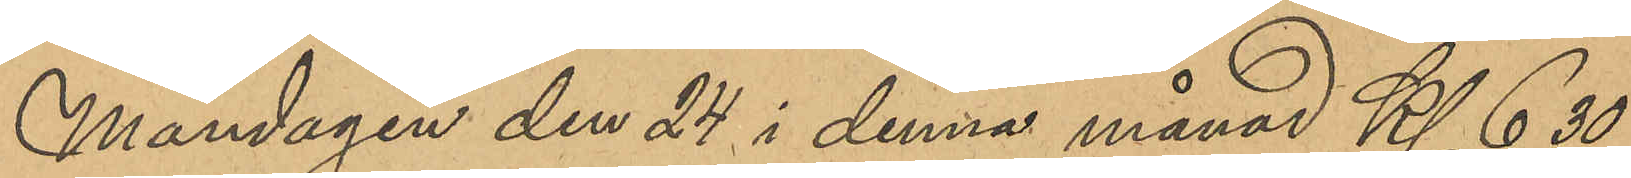Måndagen den 24 i denna månad Kl 6,30
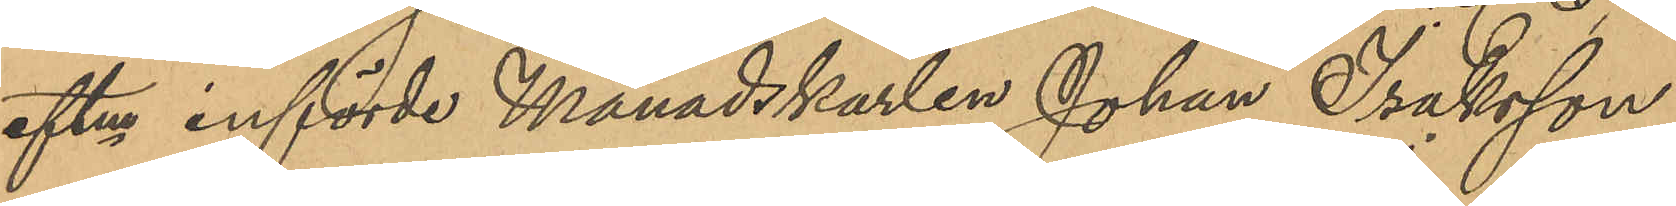eftm införde Månadskarlen Johan Isaksson,
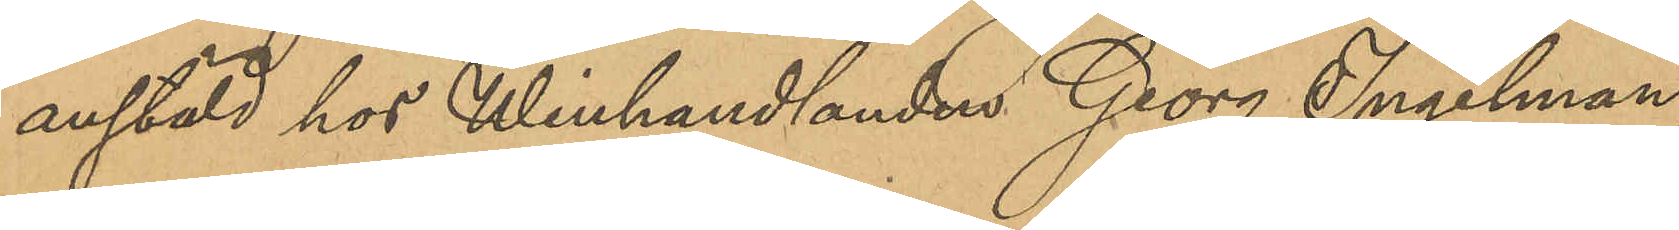anstäld hos Winhandlanden Georg Ingelman,
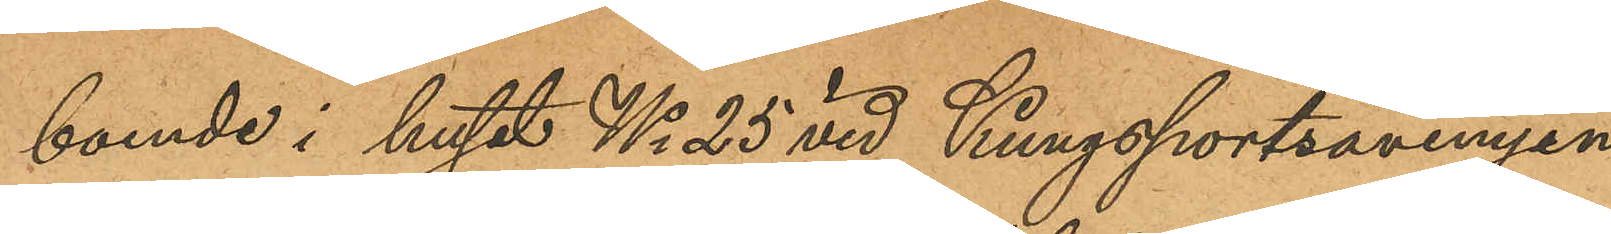boende i huset No 25 vid Kungsportsavenyn
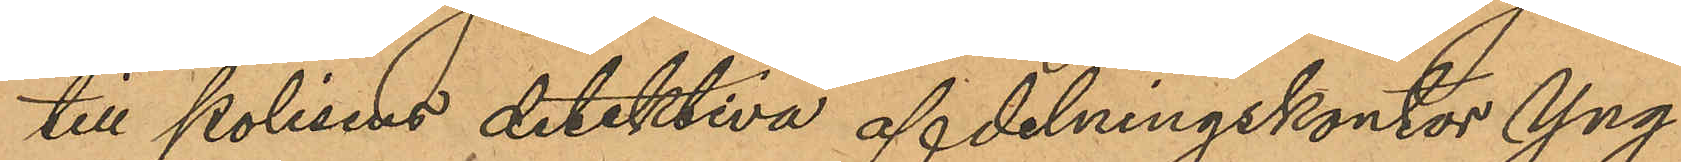till polisens detektiva afdelningskontor Yng¬
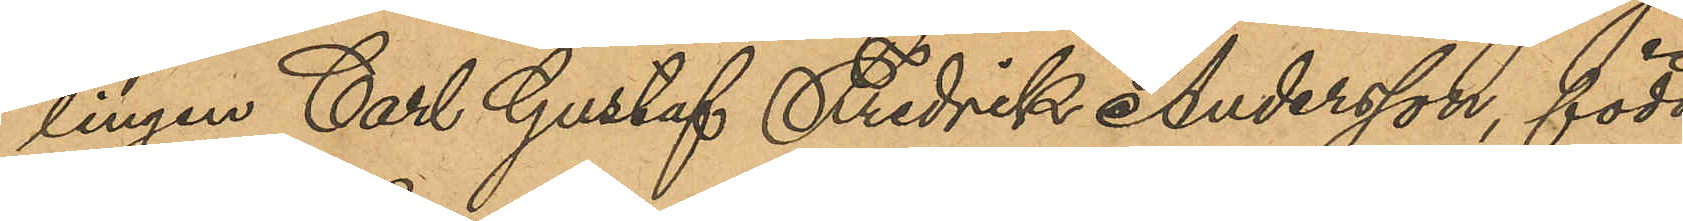lingen Carl Gustaf Fredrik Andersson, född
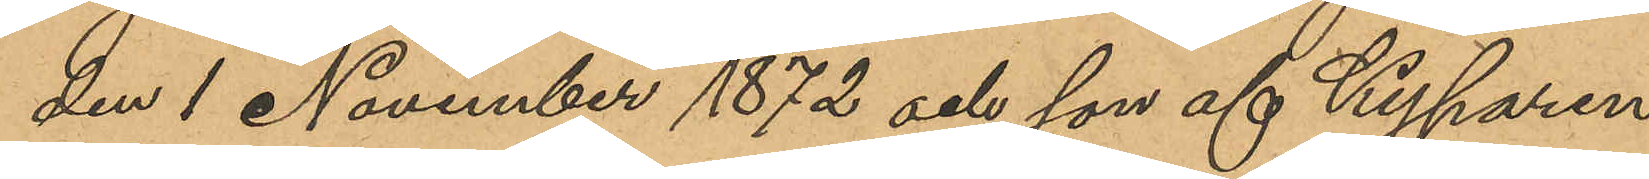den 1 November 1872 och son af Kyparen
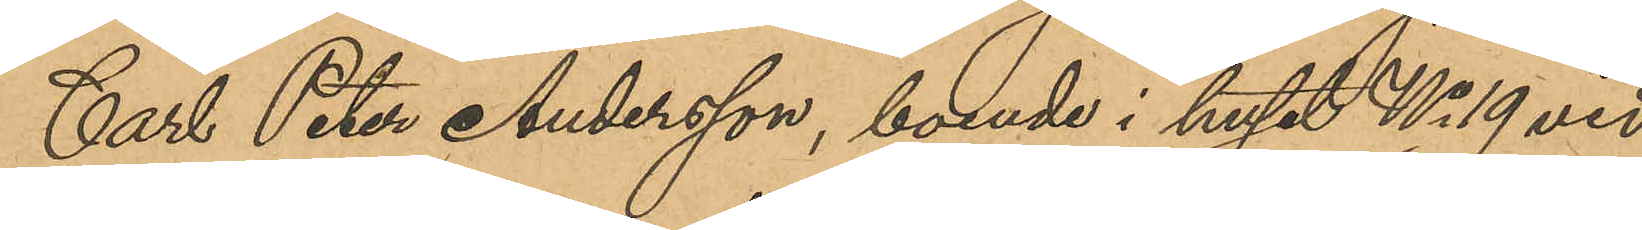Carl Peter Andersson, boende i huset No 19 vid
